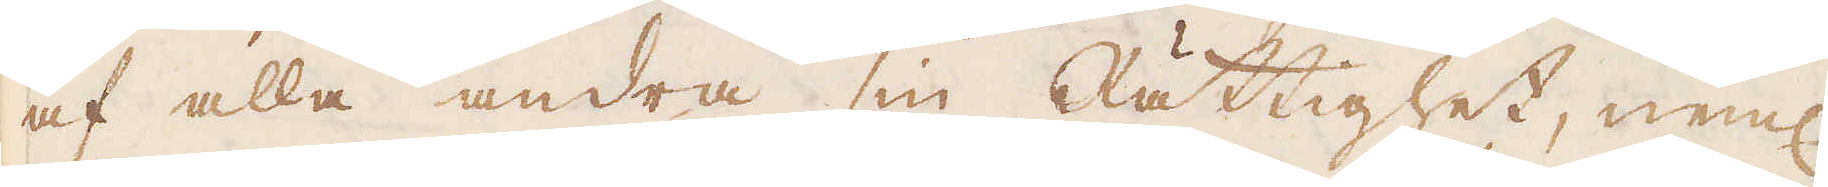af alla andra sin Rättighet, neml
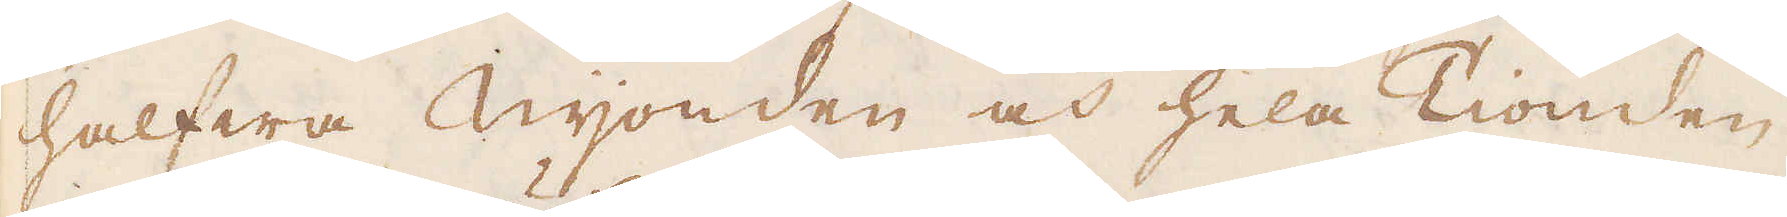halfwa Nijonden och hela Tionden,
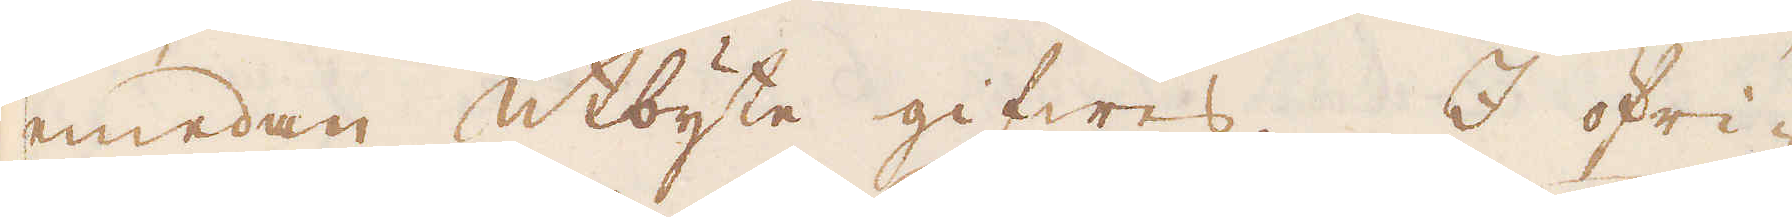emedan utbyte gifwes. I öfri-
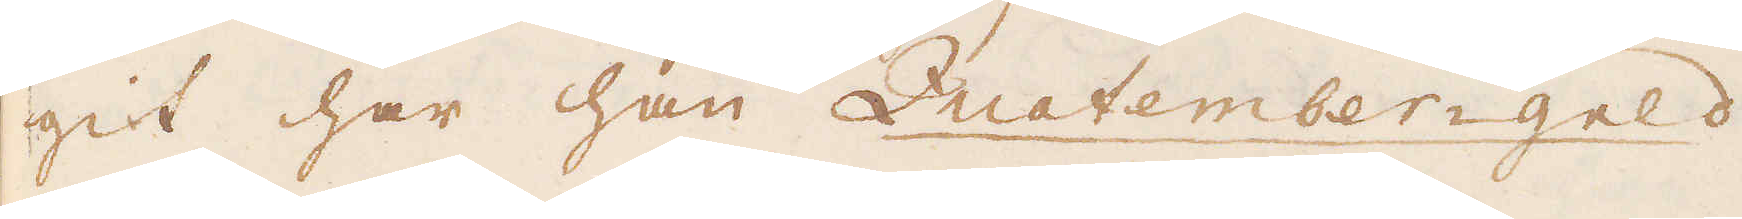git har han Quatember-geld
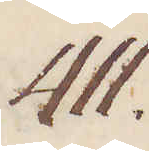411.
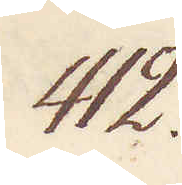412.
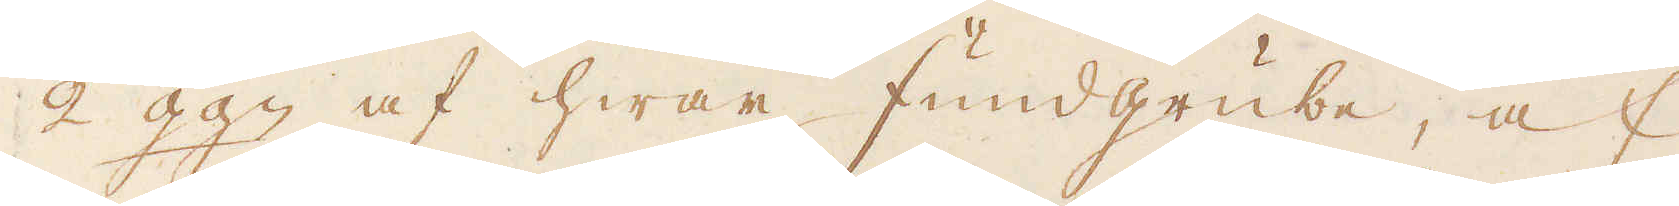2 ggn af hwar fundgrube, af
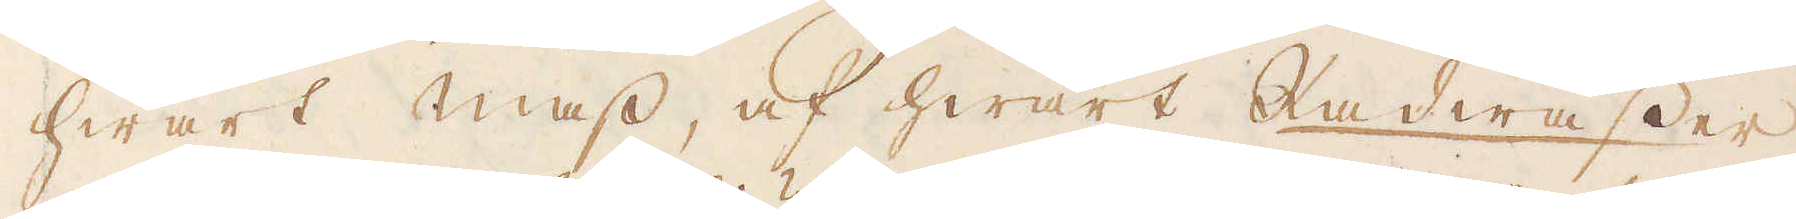hwart mass, af hwart Kadwasser
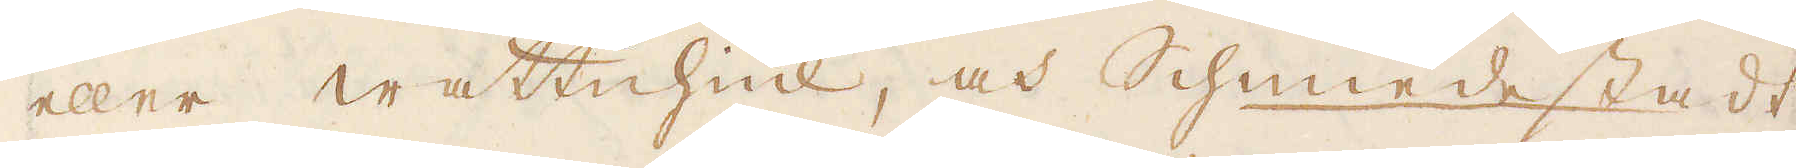eller wattuhiul, och Schmedestadt,
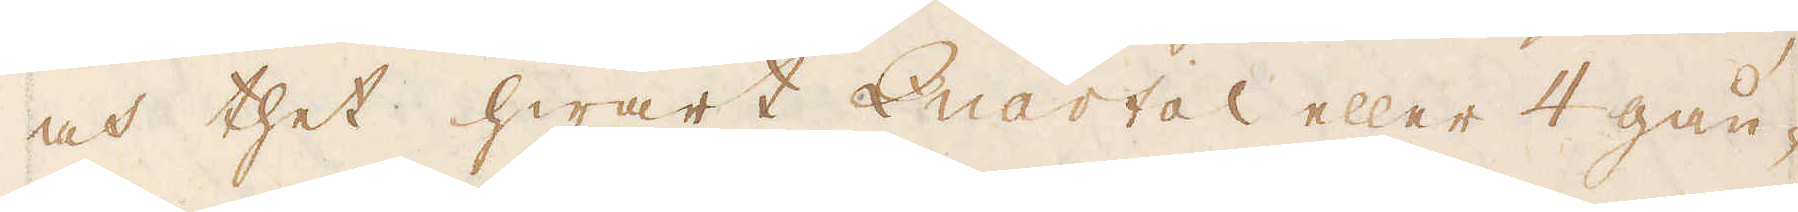och thet hwart Quartal eller 4 gån-
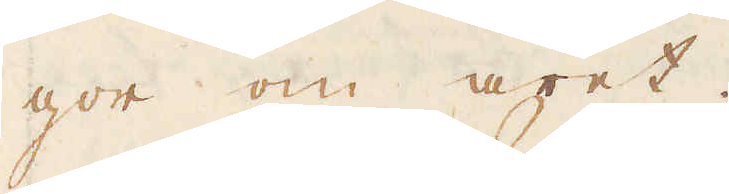gor om året.
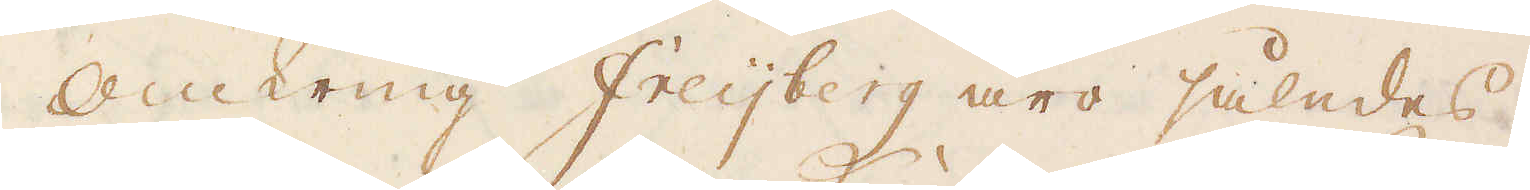Omkring Freijberg äro således,
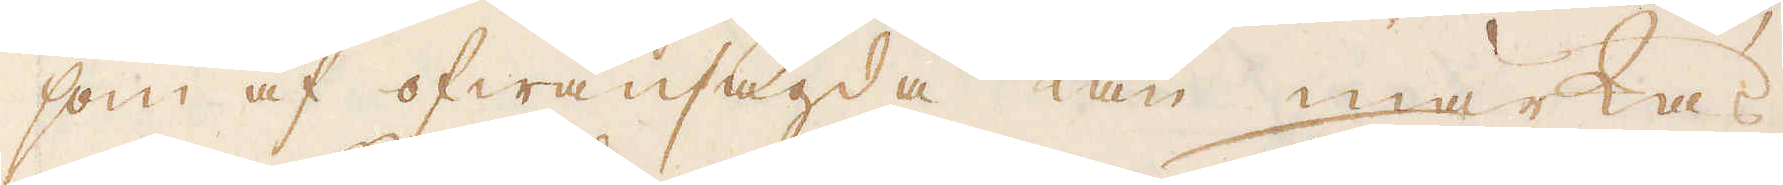som af ofwansagda kan märkas,
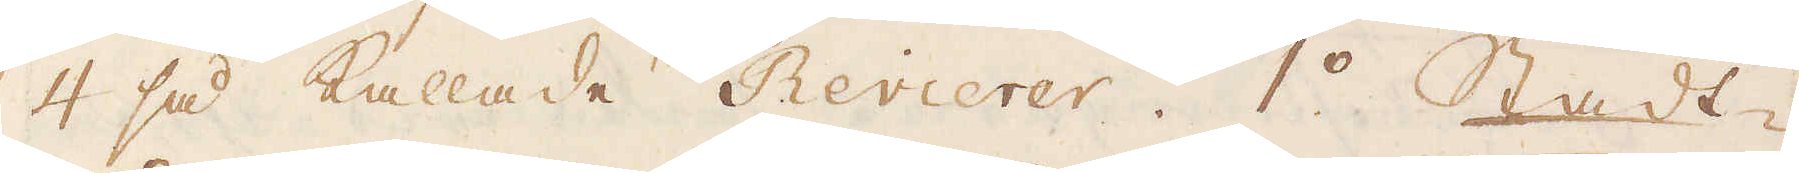4 så kallade Revierer. 1o Stadt-
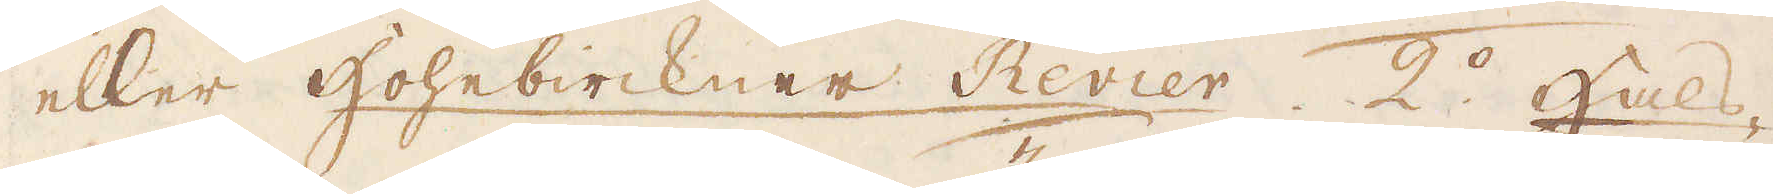eller Hohebirckner Revier. 2o Hals-
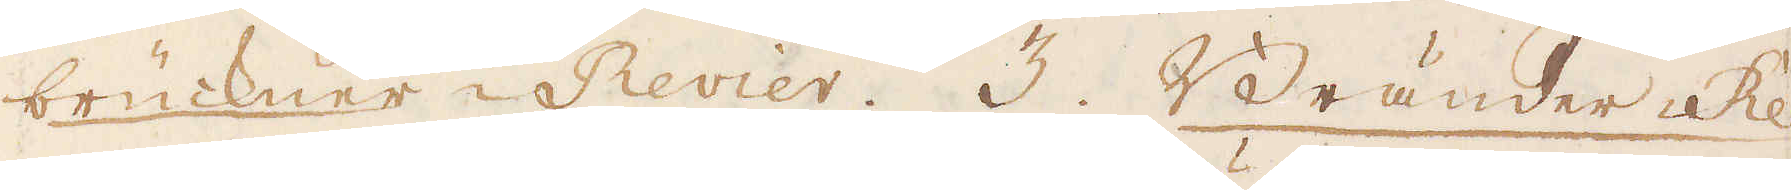brückner-Revier. 3. Bränder-Re-
